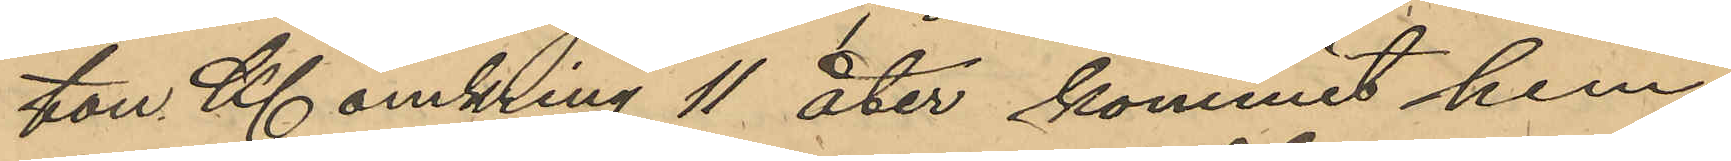ton Kl. omkring 11 åter kommit hem
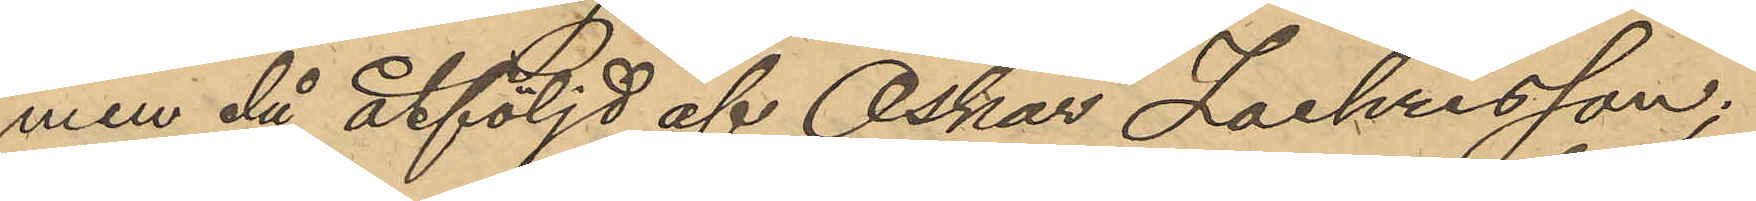men då åtföljd af Oskar Zachrisson;
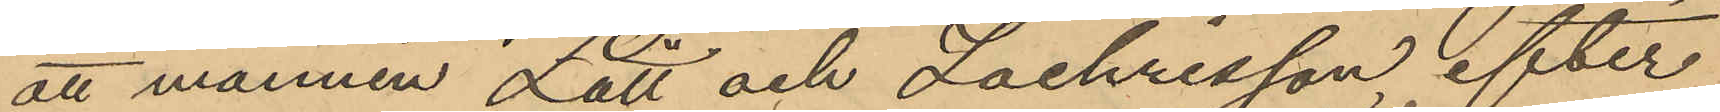att mannen Lätt och Zachrisson efter
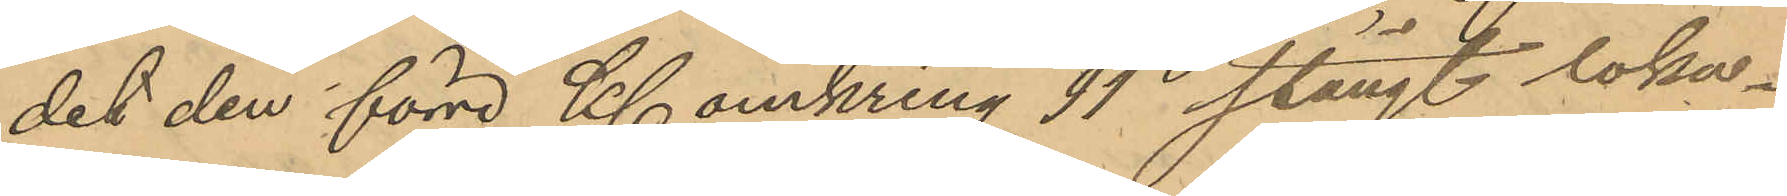det den förre Kl. omkring 11 stängt loka¬
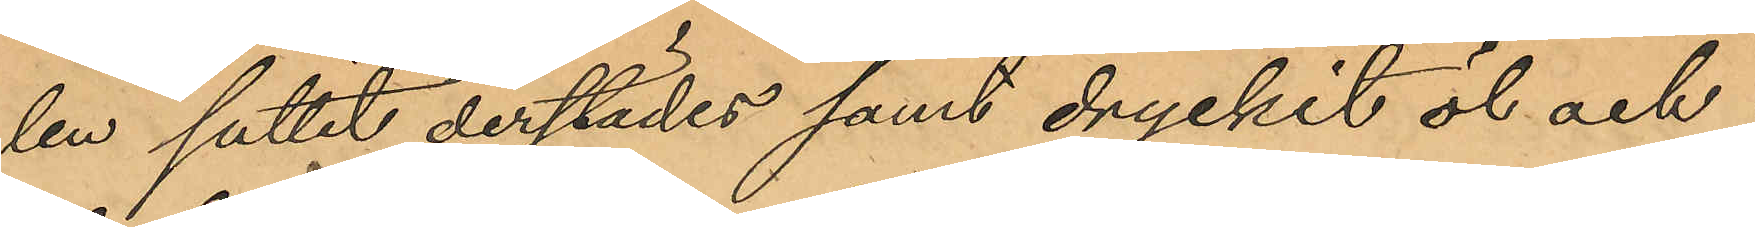len suttit derstädes samt dryckit öl och
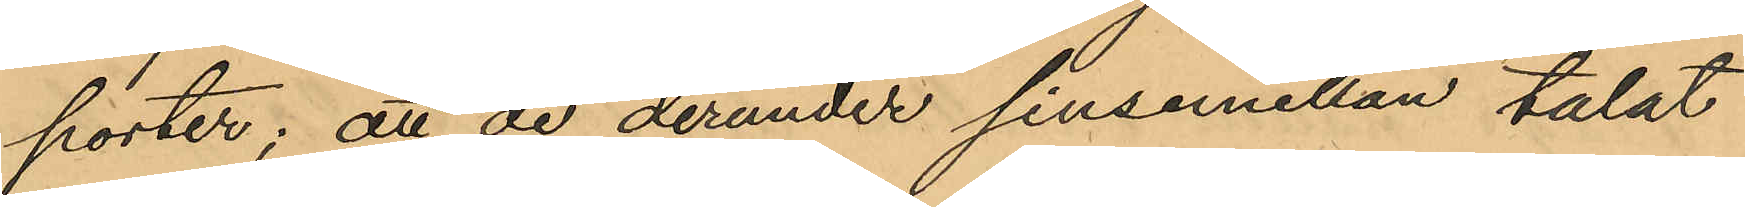porter; att de derunder sinsemellan talat
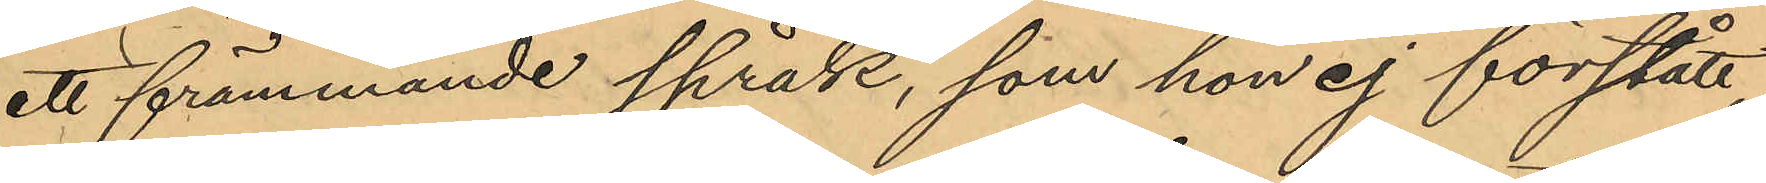ett främmande språk, som hon ej förstått,
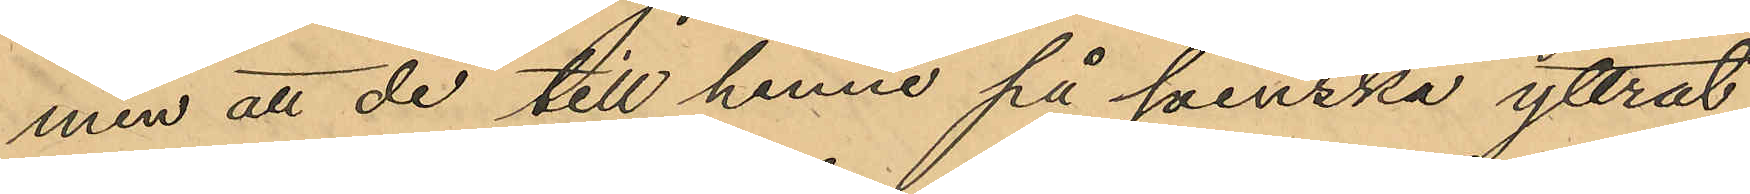men att de till henne på svenska yttrat
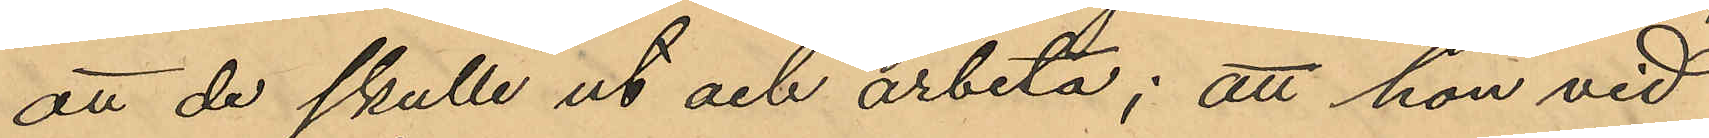att de skulle ut och arbeta; att hon vid
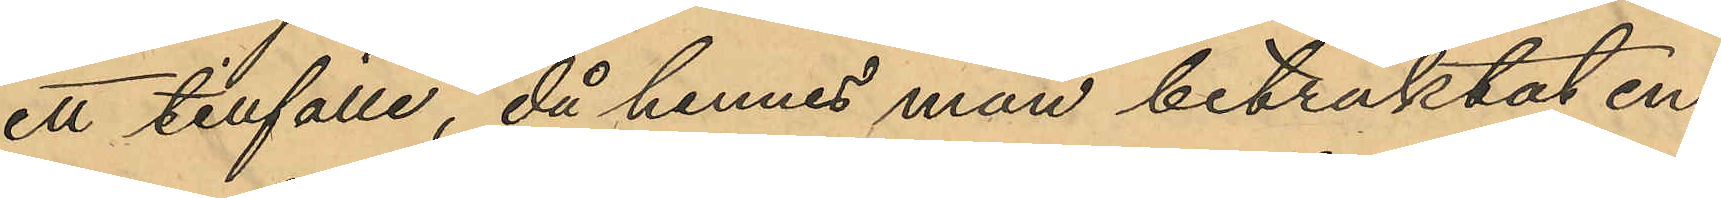ett tillfälle, då hennes man betraktat en
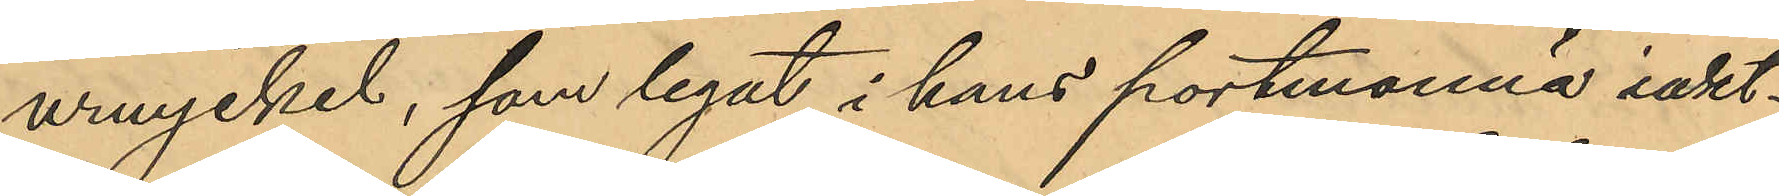urnyckel, som legat i hans portmonnä iakt¬
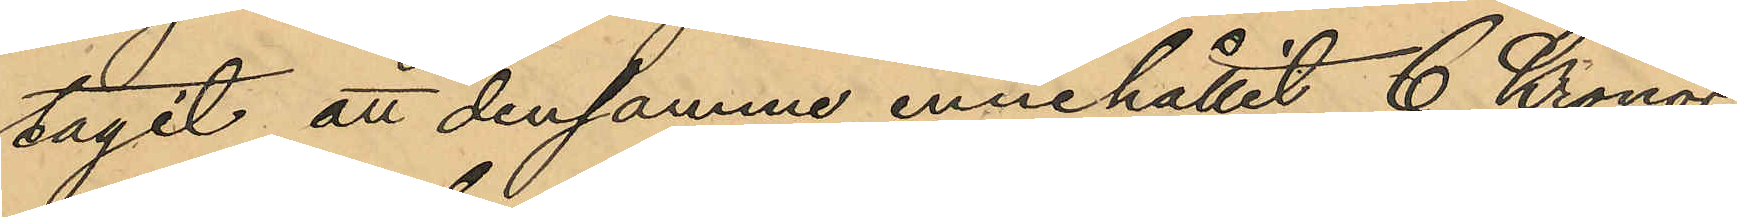tagit att densamma innehållit 6 Kronor
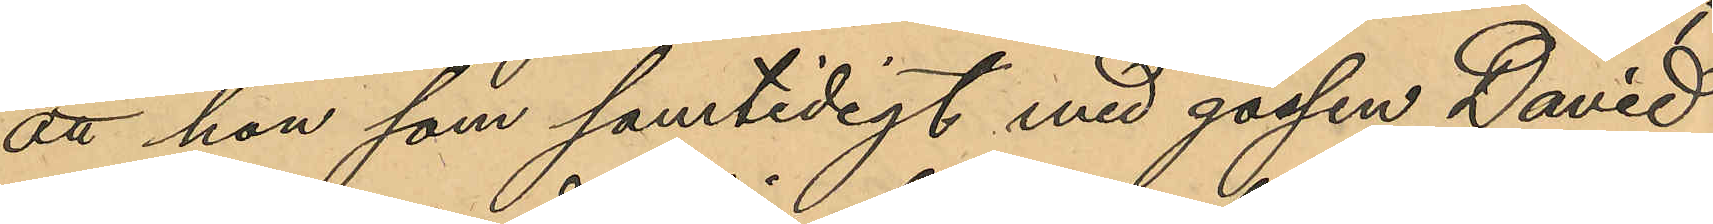att han som samtidigt med gossen David
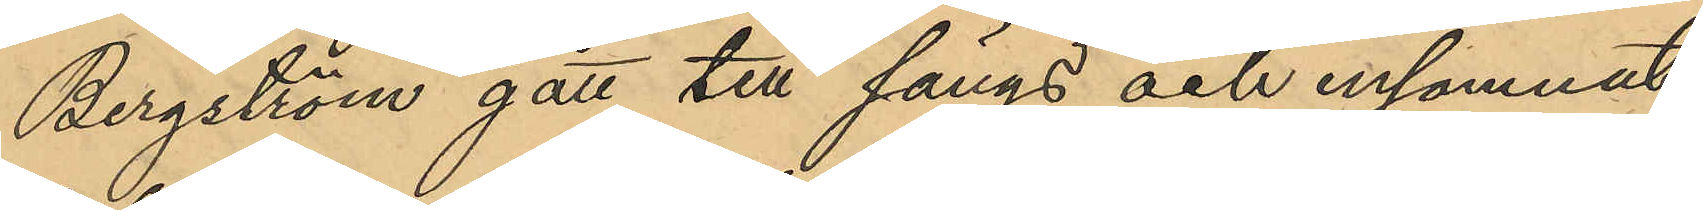Bergström gått till sängs och insomnat,
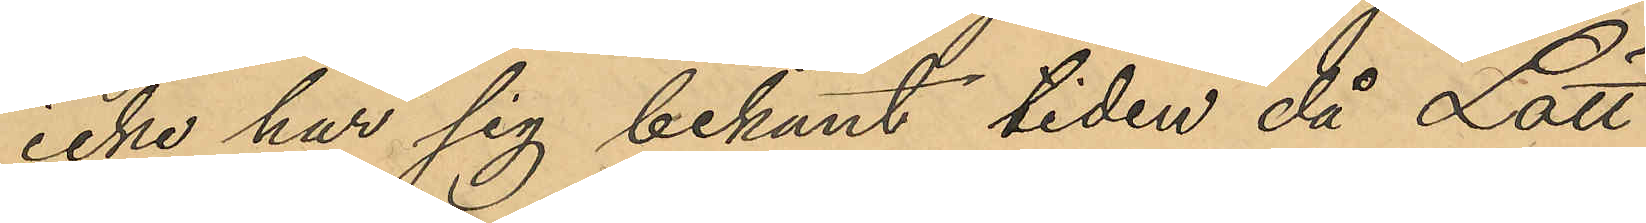icke har sig bekant tiden då Lätt
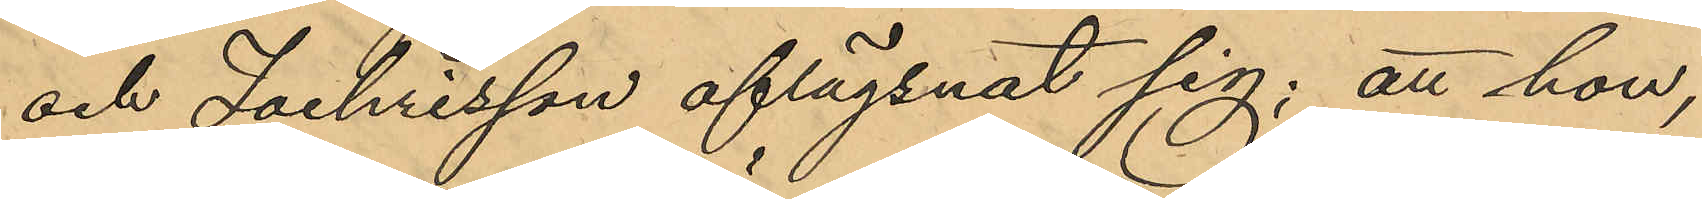och Zachrisson aflägsnat sig; att hon,
